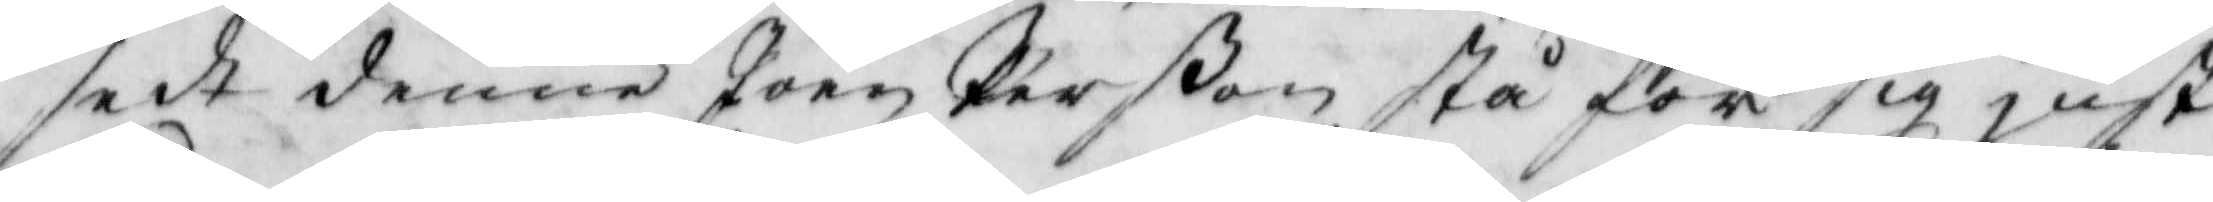sedt denne Joen Perßon stå för sig just
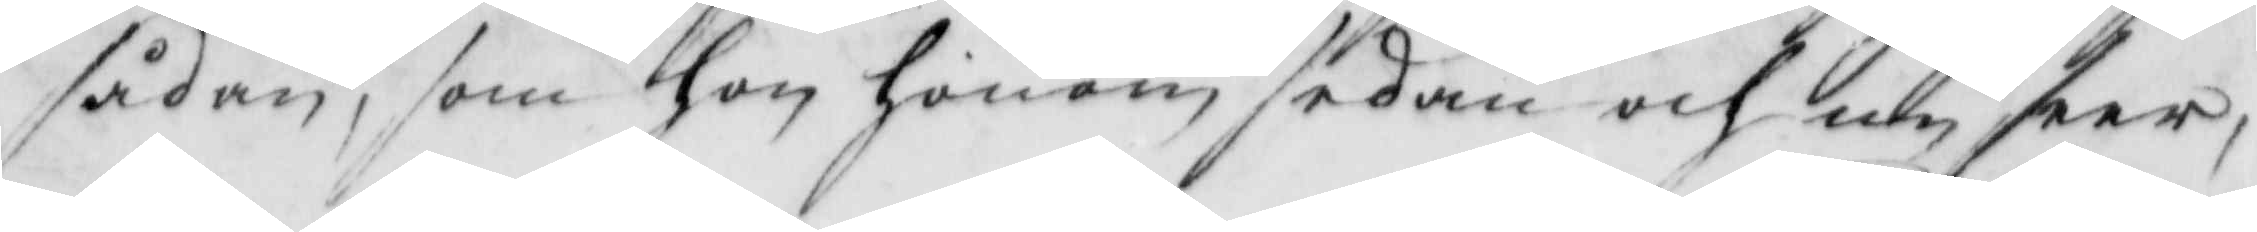sådan, som hon honom sedan och nu seer,
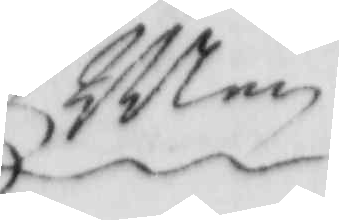Men
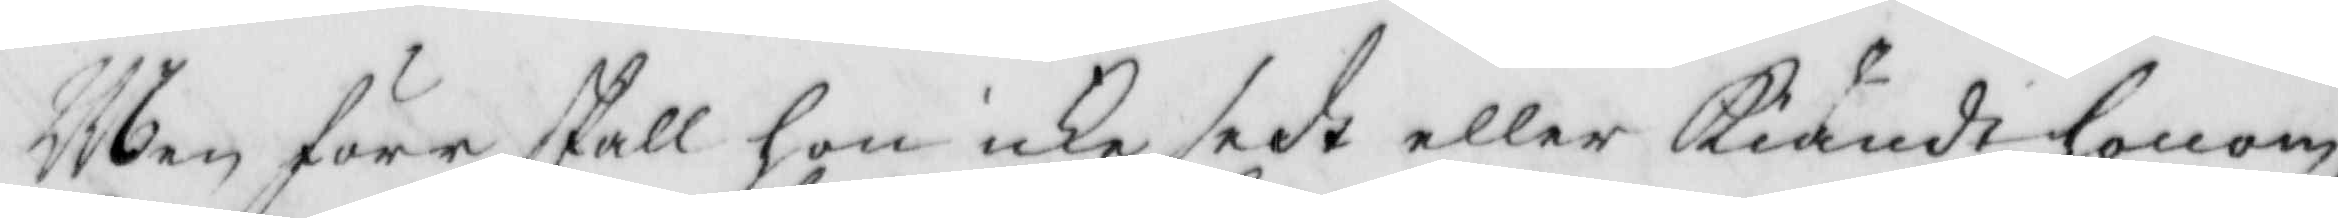Men före skall hon icke sedt eller kiändt honom
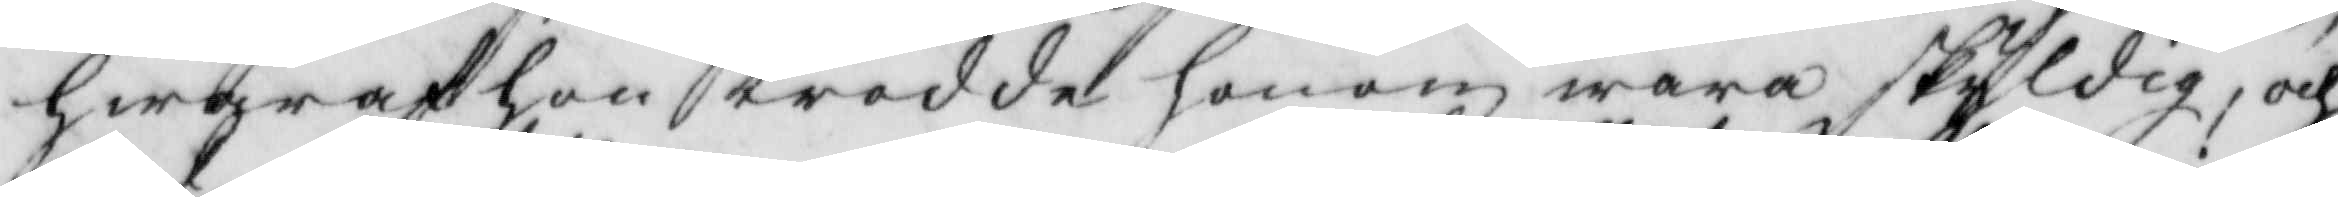hwaraf hon trodde honom wara skyldig, och
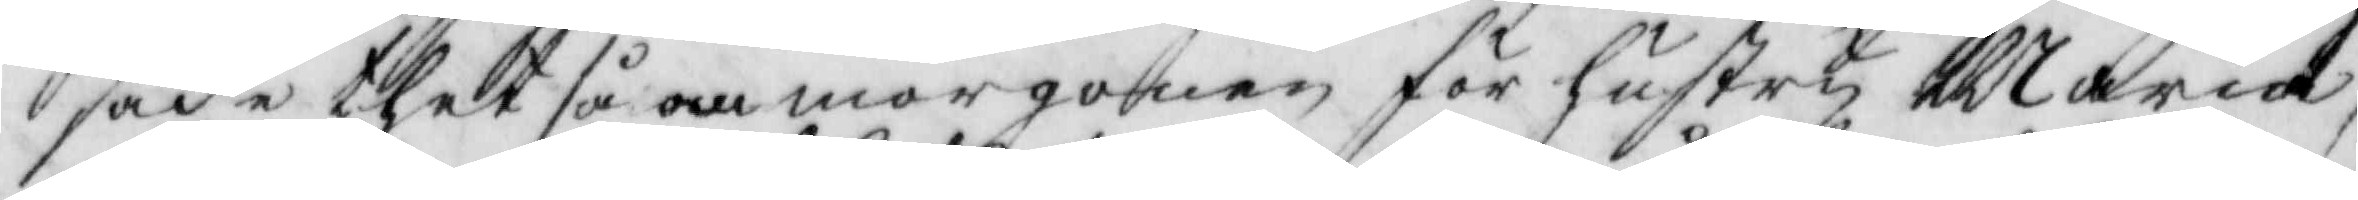sade thet så om morgonen för hustru Maria,
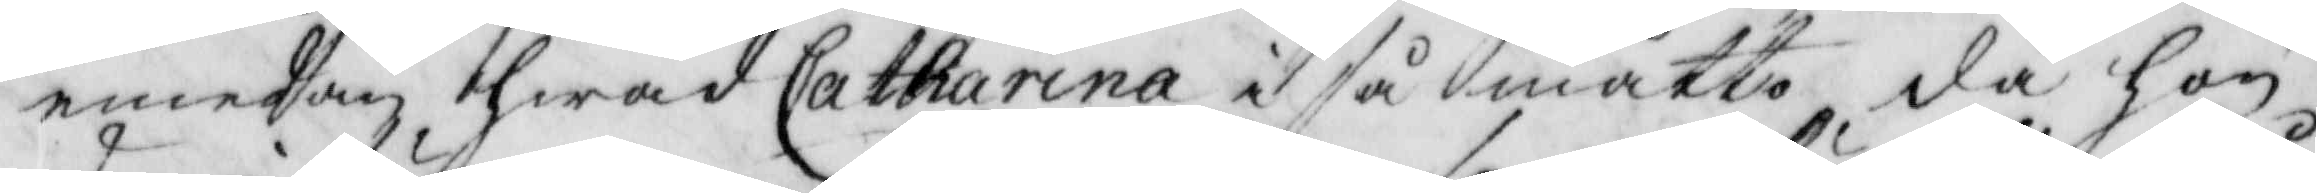emedan, hwad Catharna i så måtto, då hon
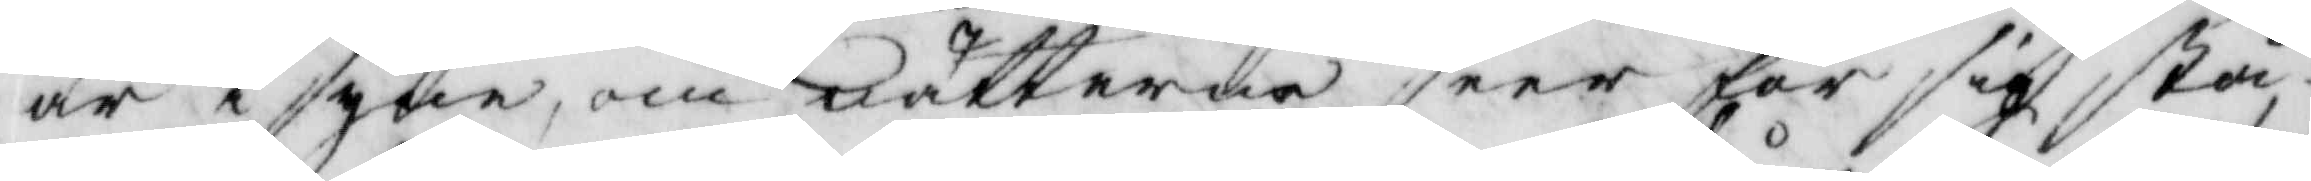är i syne, om nätterne seer för sig, stå
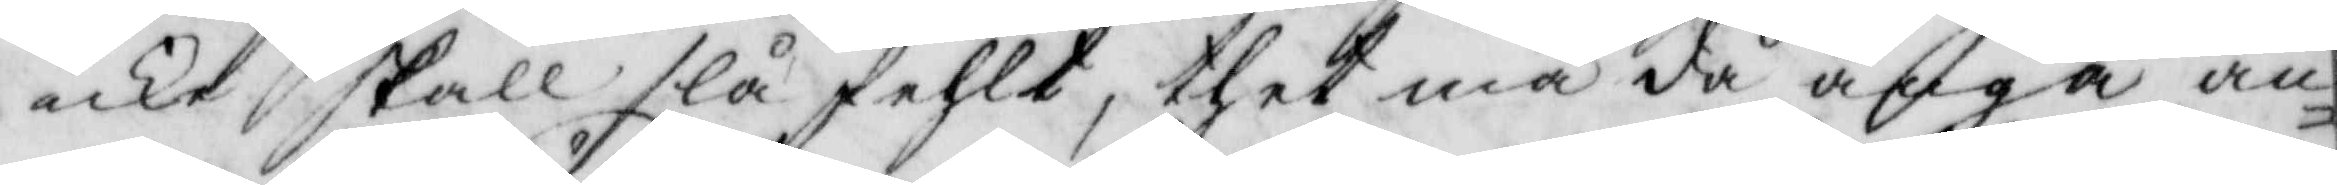icke skall slå fehlt, thet må då angå an¬
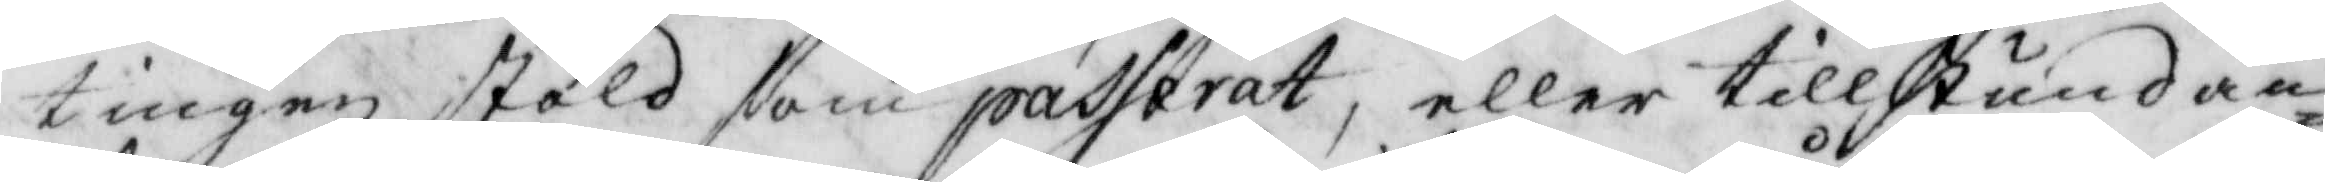tingen stöld som passerat, eller tillstundan¬
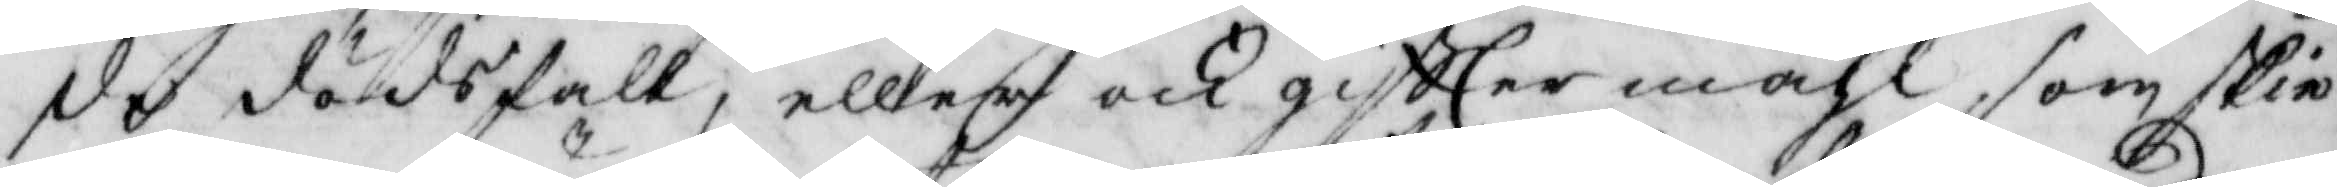de dödsfall, eller och giftter måhl, som skie
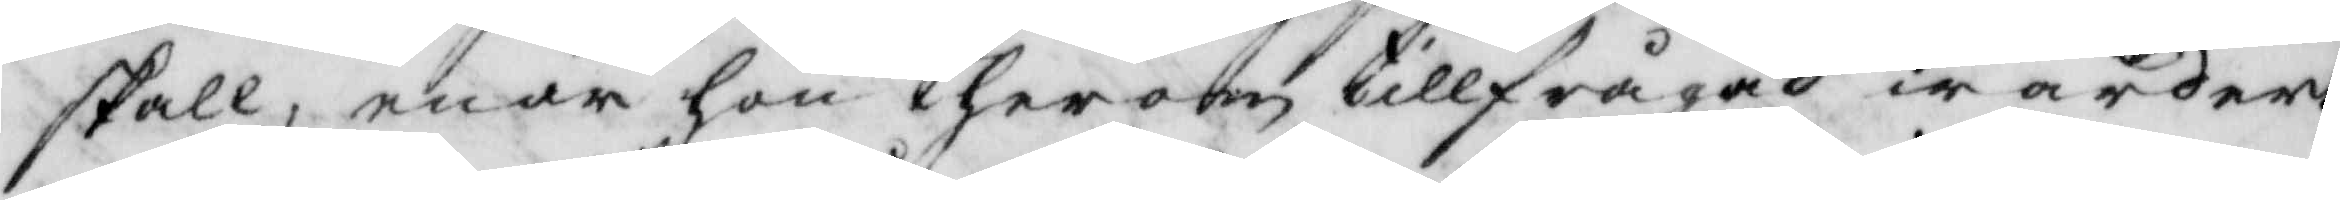skall, enär hon therom tillfrågad warder.
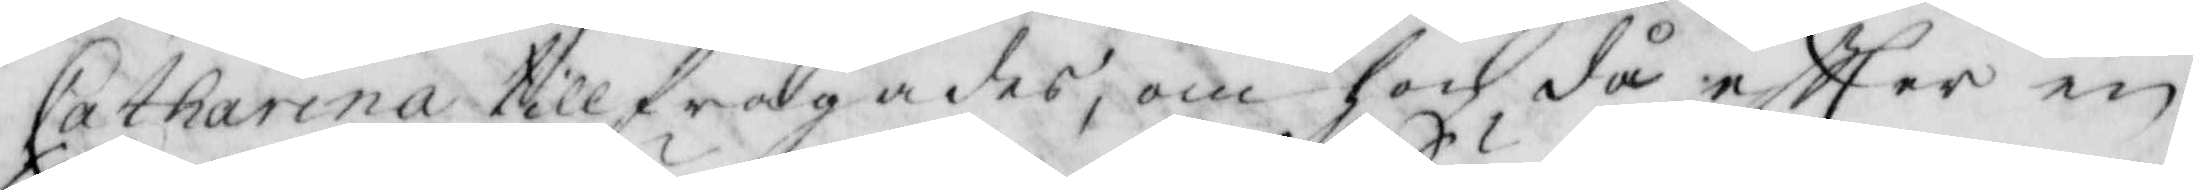Catharina tillfrågades, om hon, då eftter en
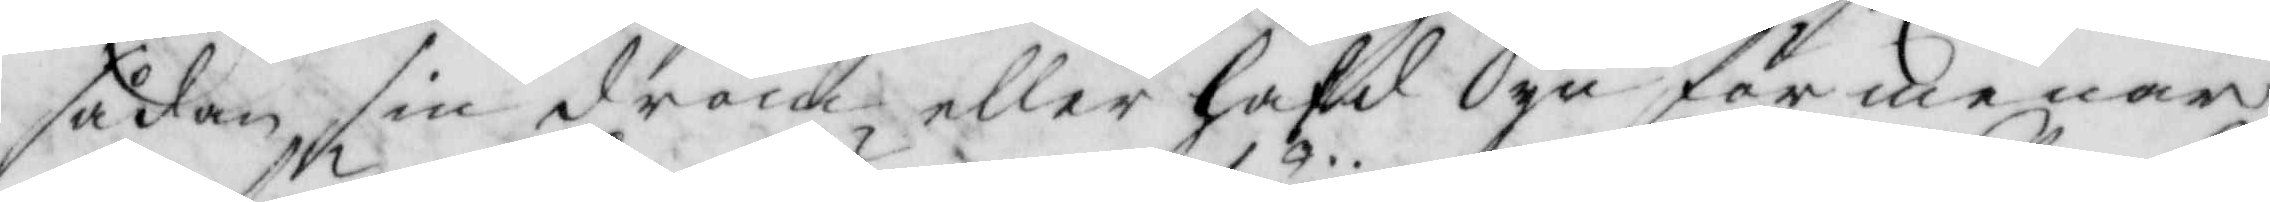sådan sin dröm, eller hafd Syn förmenar
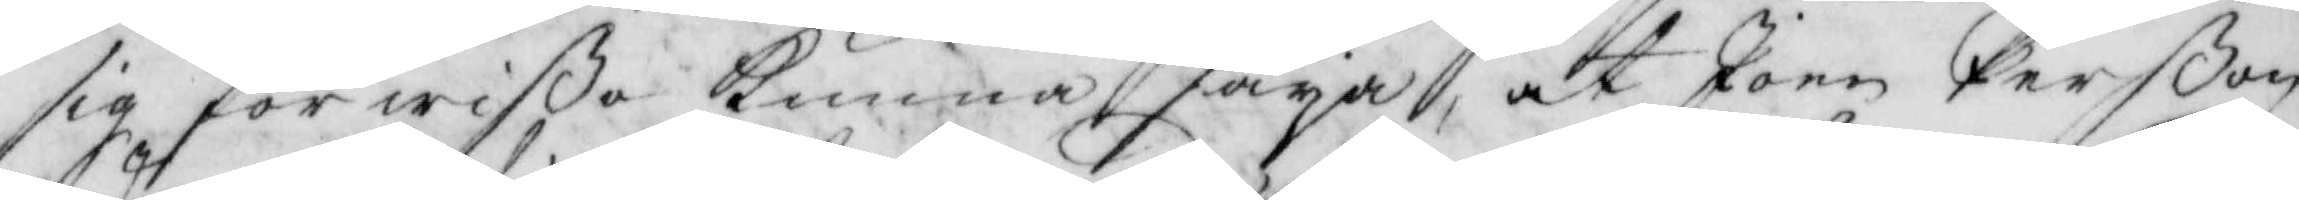sig förwißo kunna säya, at Joen Perßon
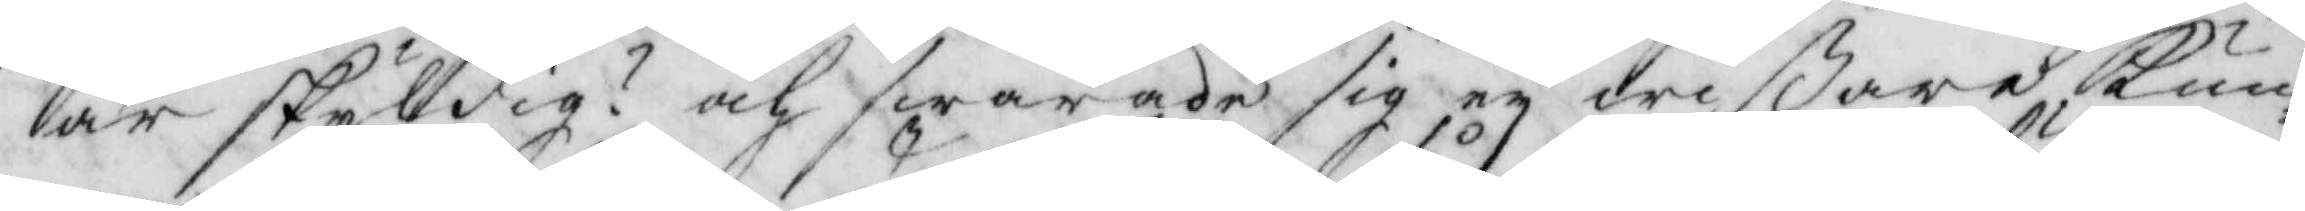är skyldig? och swarade sig ey wißare kun¬
